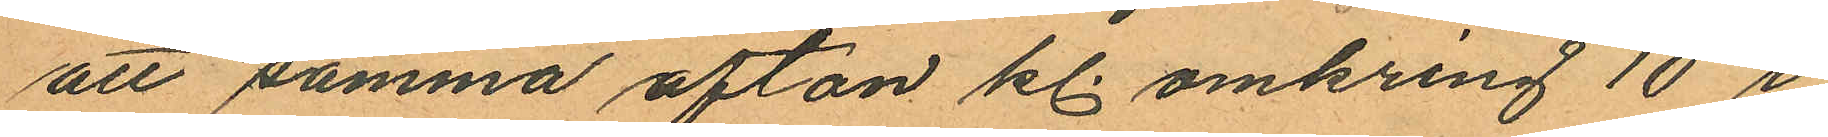att samma afton kl. omkring 10 i
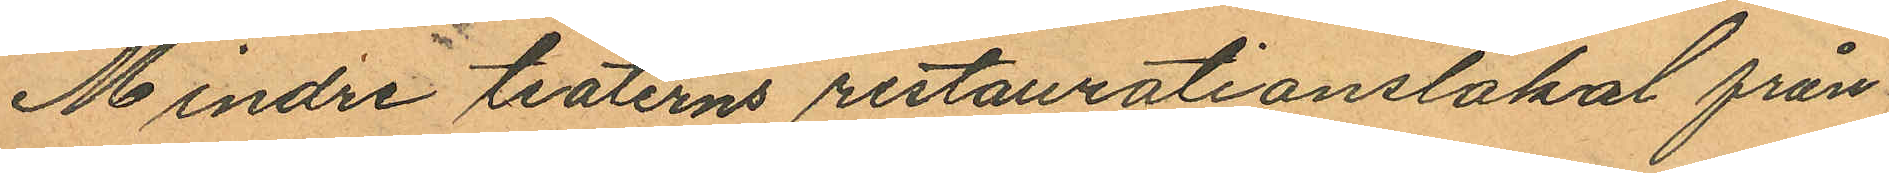Mindre teaterns restaurationslokal från
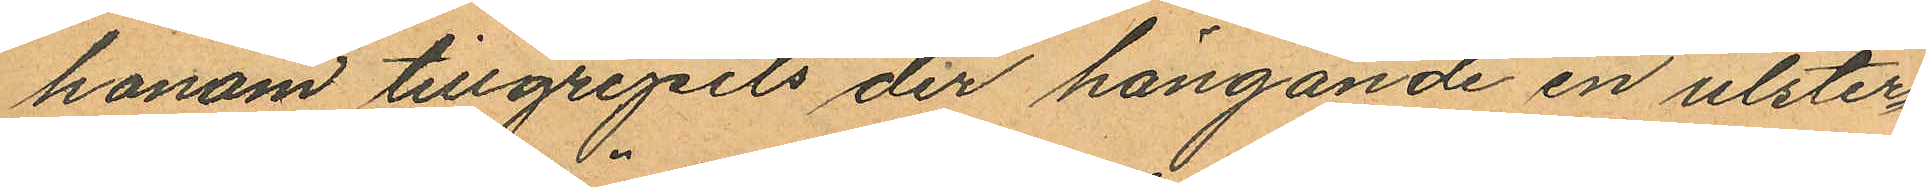honom tillgripits der hängande en ulster¬
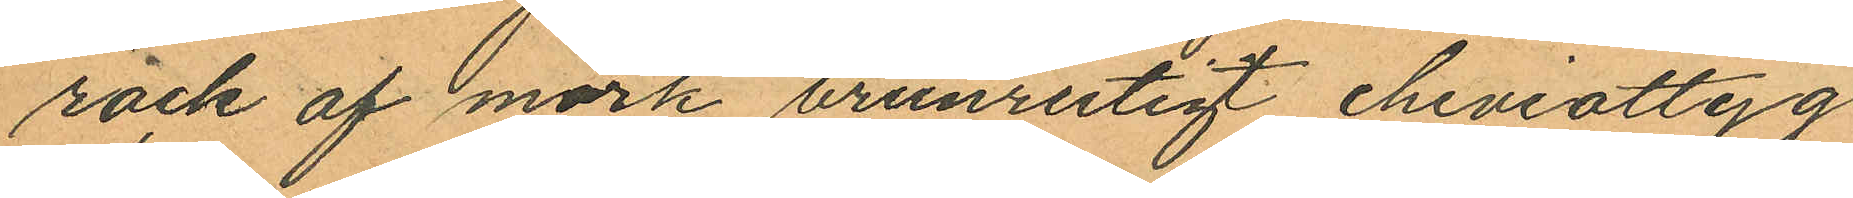rock af mörk brunrutigt cheviottyg
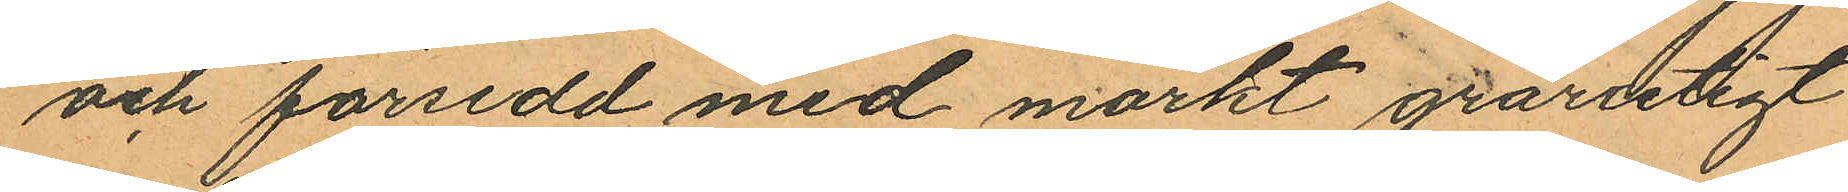och försedd med mörkt grårutigt
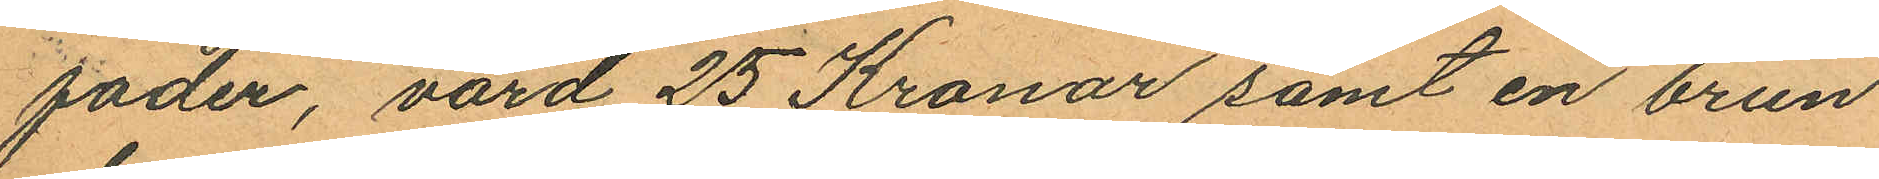foder, värd 25 Kronor samt en brun
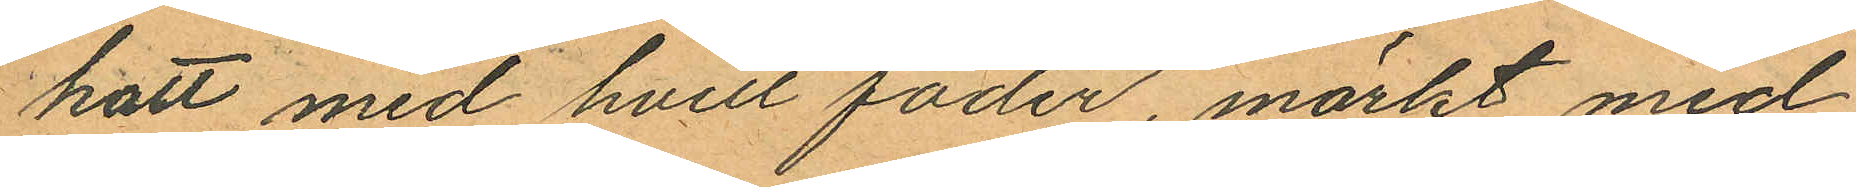hatt med hvitt foder, märkt med
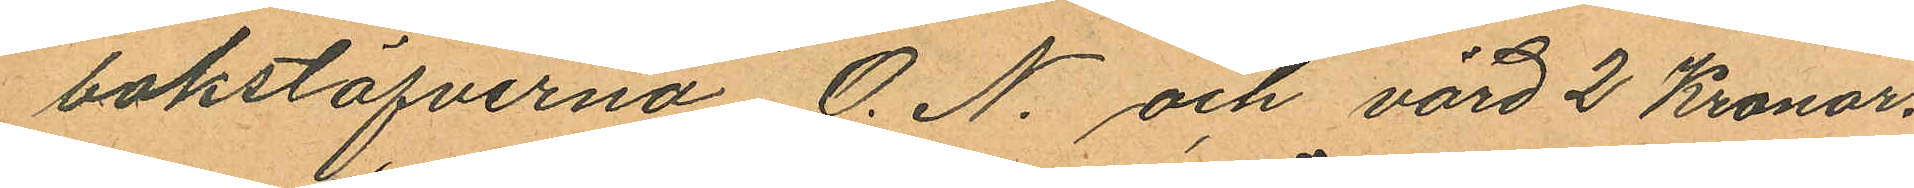bokstafverna O. N. och värd 2 Kronor.
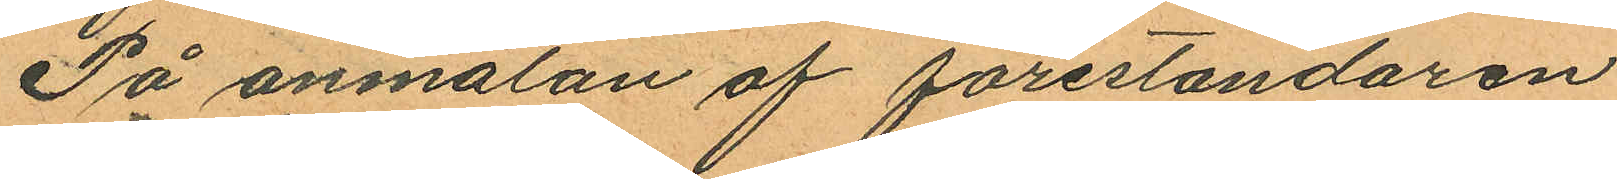På anmälan af föreståndaren
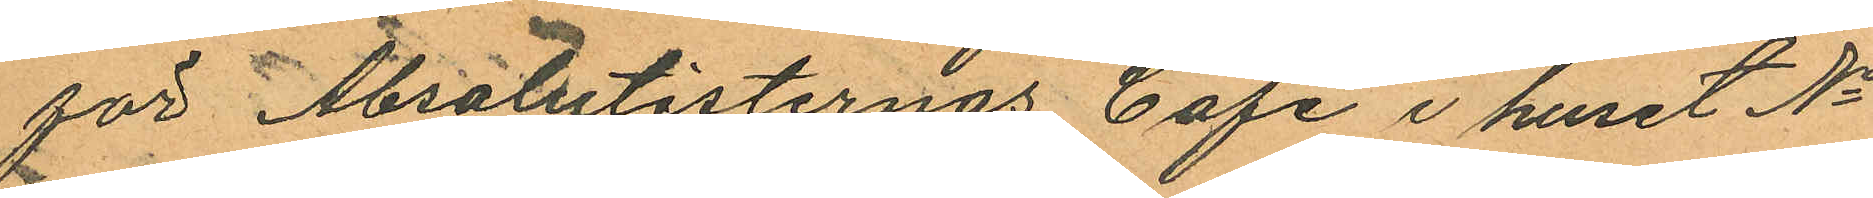för Absolutisternas Café i huset No
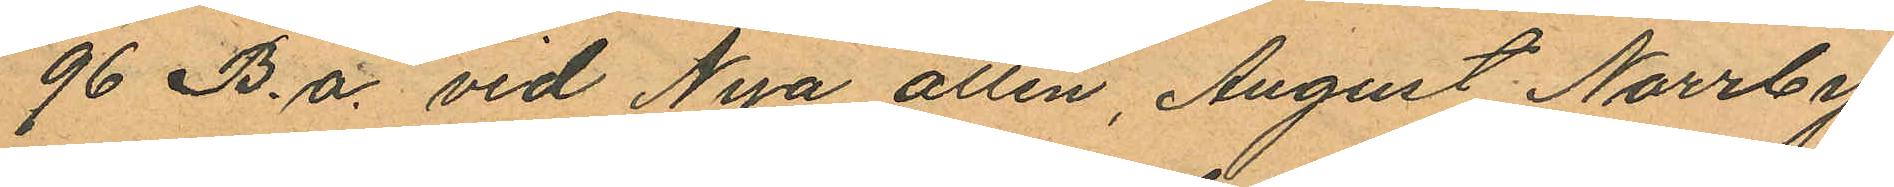96 B.a. vid Nya allén, August Norrby,
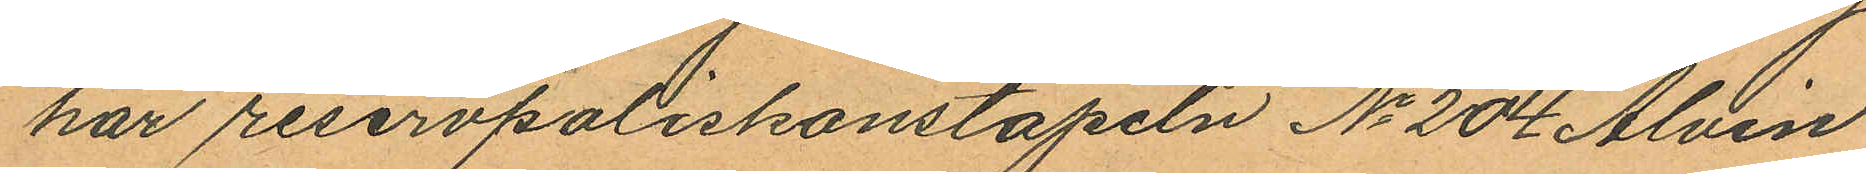har reservpoliskonstapeln No 204 Alvin
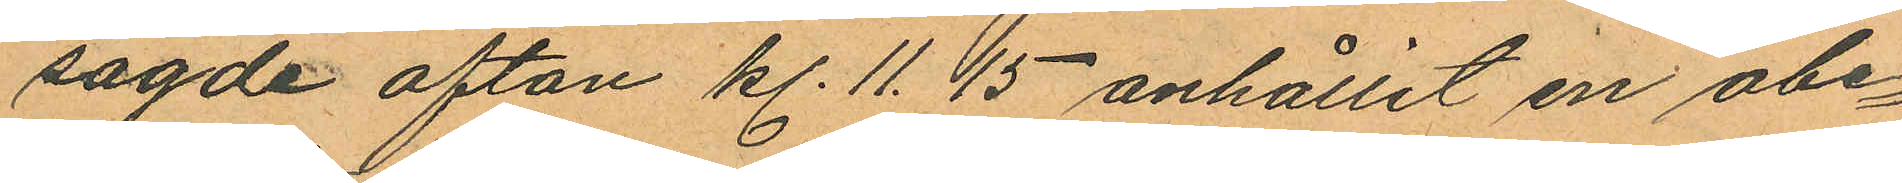sagde afton kl. 11.15 anhållit en obe¬
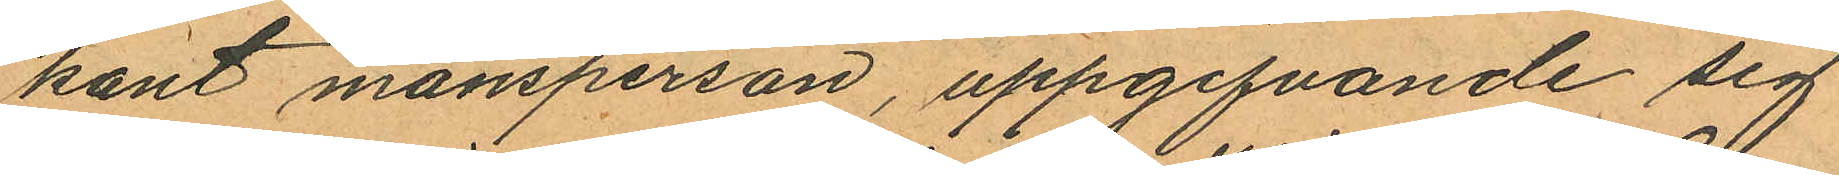kant mansperson, uppgifvande sig
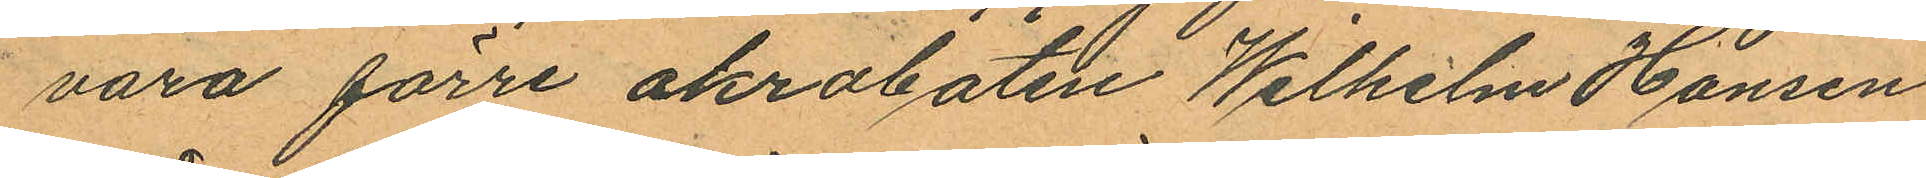vara förre akrobaten Wilhelm Hansen
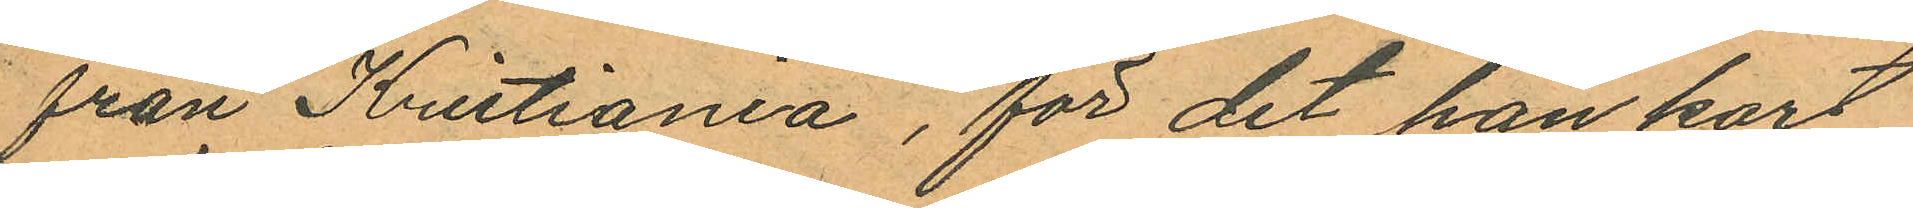från Kristiania, för det han kort
